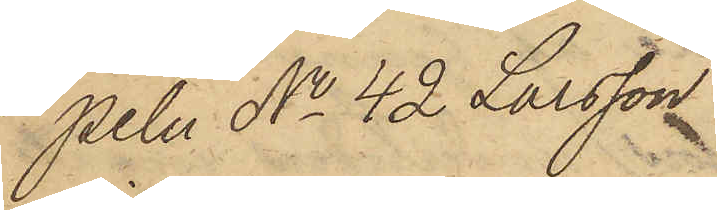peln No 42 Larsson
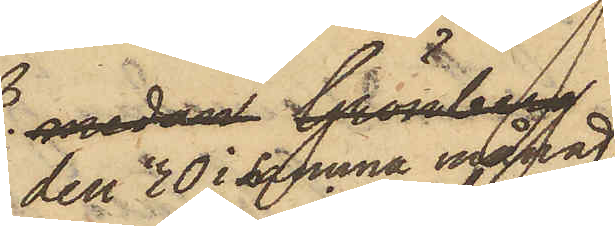den 30 i samma månad
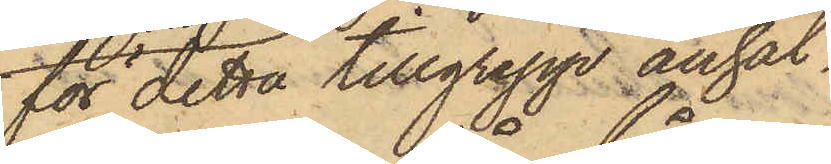för detta tillgrepp anhål¬
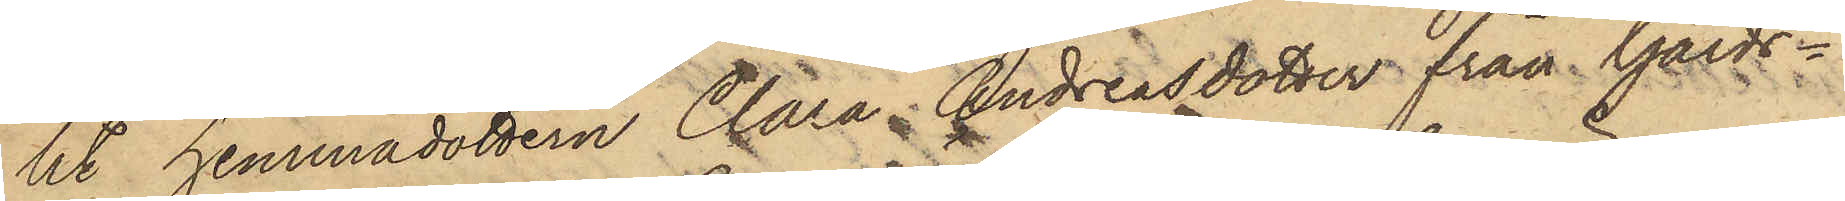lit hemmadottern Clara Andreasdotter från Gårds¬
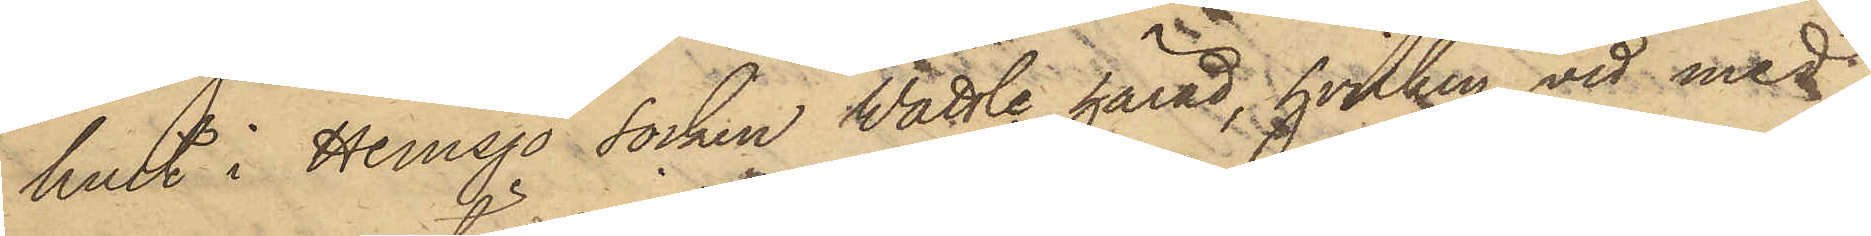hult i Hemsjö Socken Wättle härad, hvilken vid med
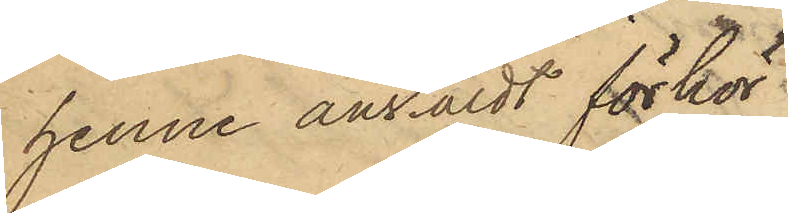henne anstäldt förhör
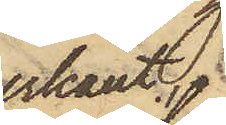erkänt:
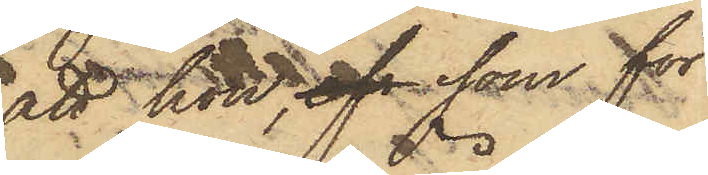att hon, afs som för
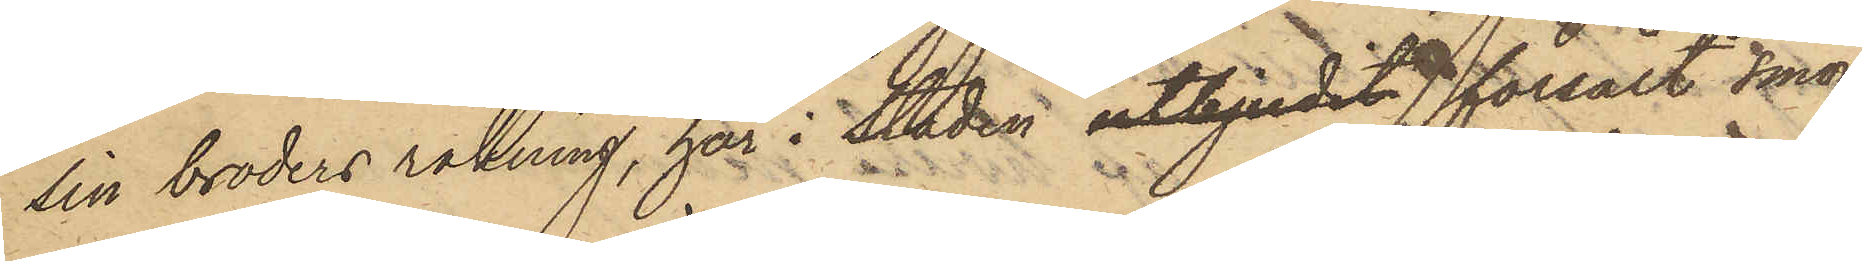sin broders räkning, här i Staden utbjudit försålt smör
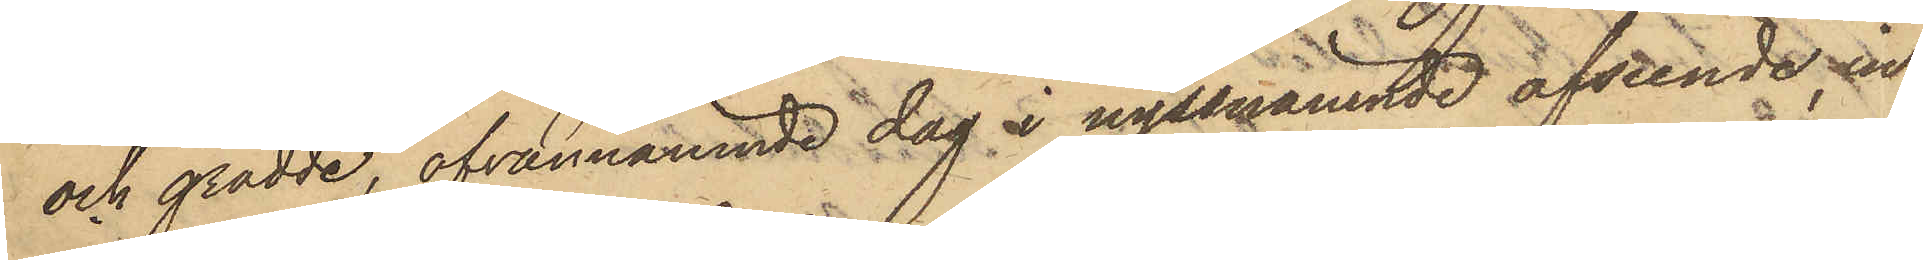och grädde, ofvannämnde dag i nyssnämnde afseende, in¬
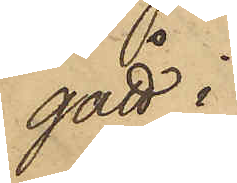gått i
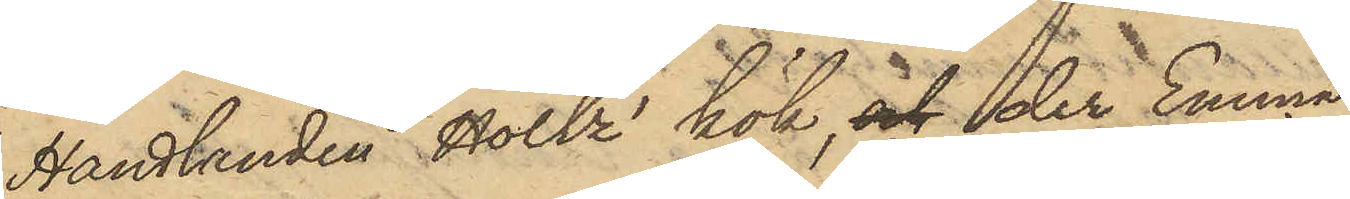Handlanden Holtz' kök, och der Emma
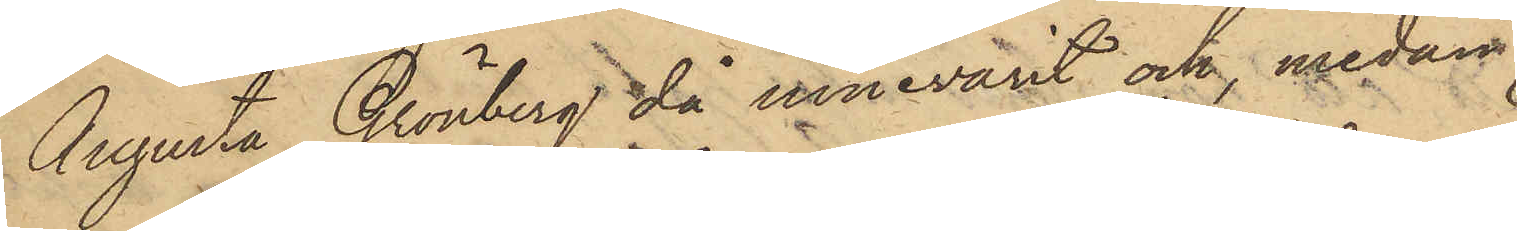Augusta Grönberg då innevarit och, medan
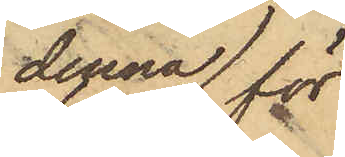denna för
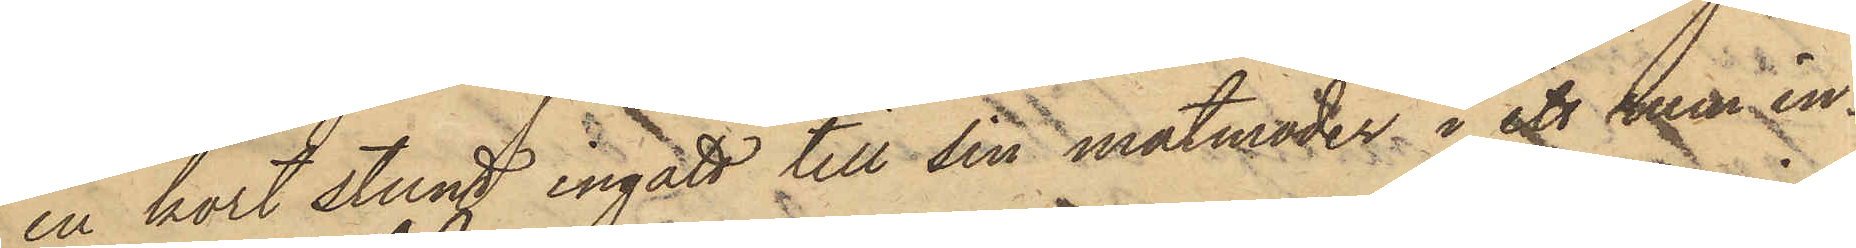en kort stund ingått till sin matmoder i ett rum in¬
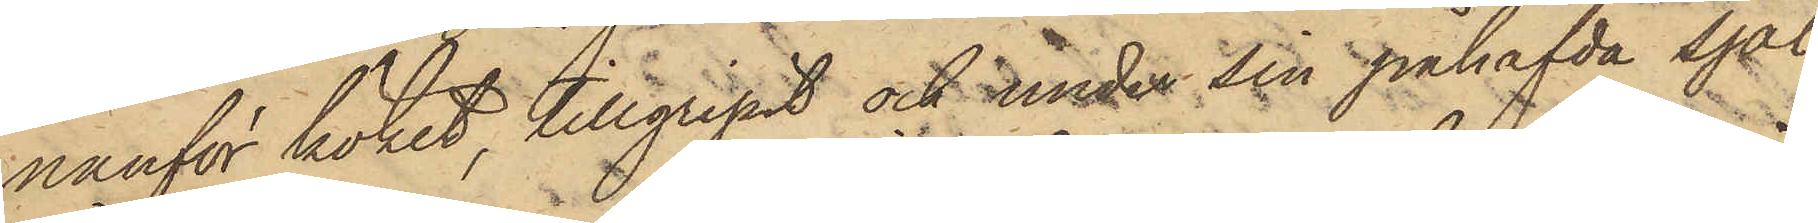nanför köket, tillgripit och under sin påhafvda sjal
